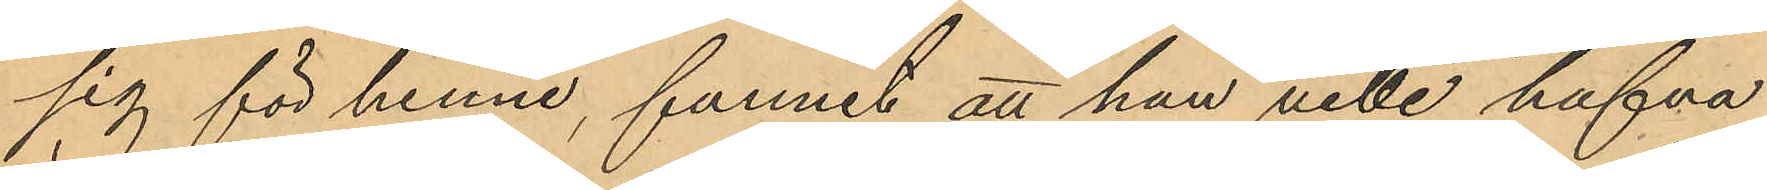sig för henne, funnit att han ville hafva
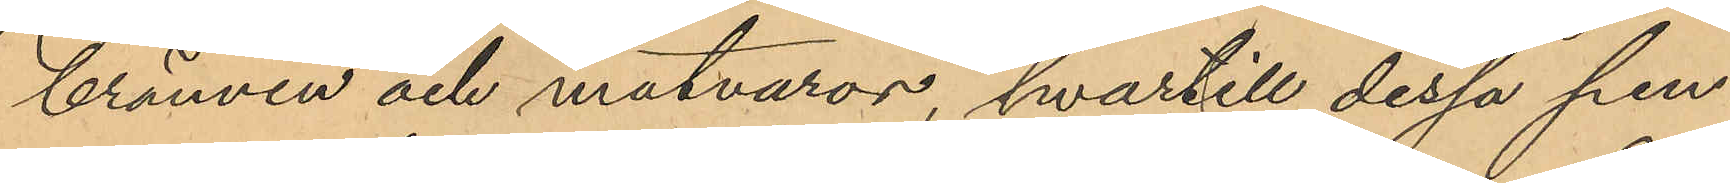brännvin och matvaror, hvartill dessa pen¬
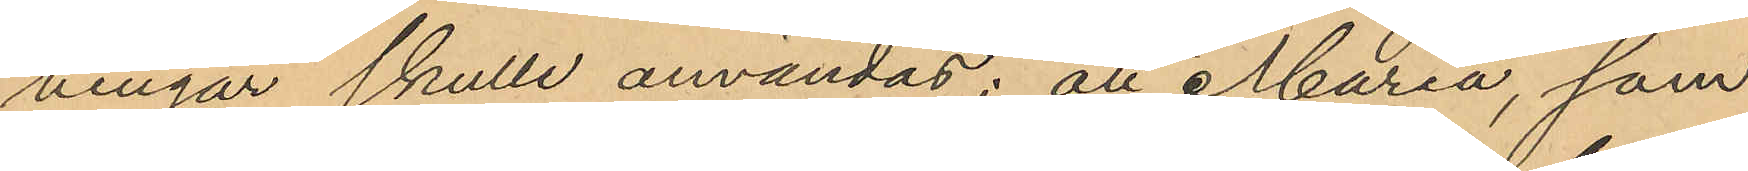ningar skulle användas; att Maria, som
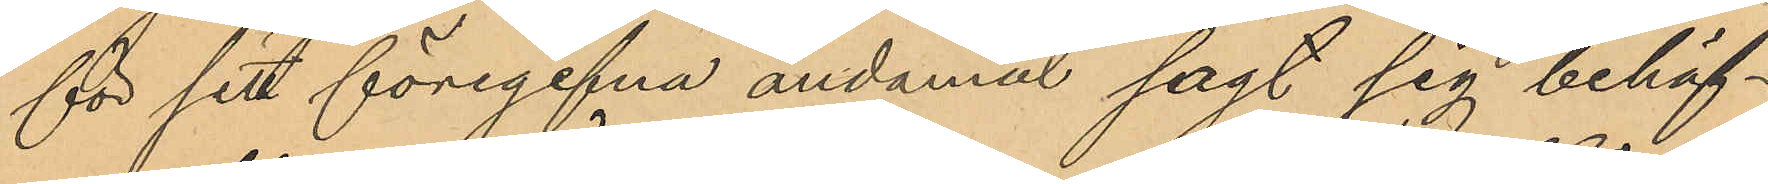för sitt föregifna ändamål sagt sig behöf¬
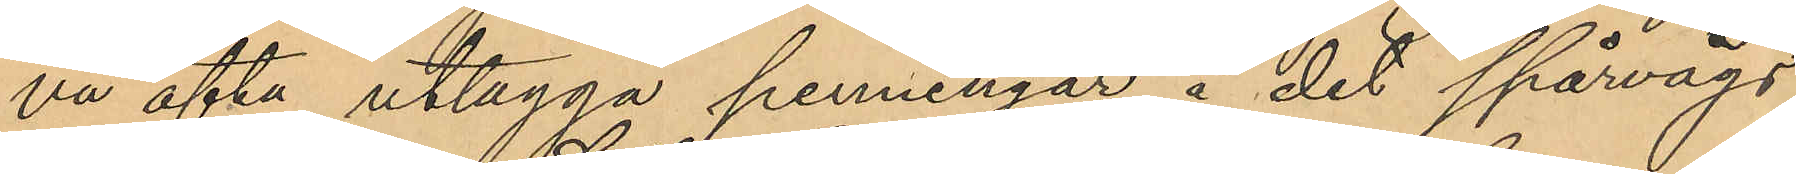va ofta utlägga penningar å det spårvägs¬
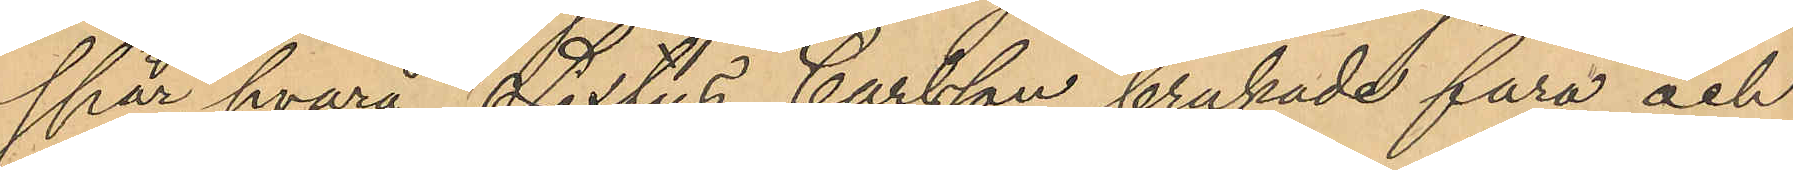spår, hvarå Sixtus Carlsson brukade fara och
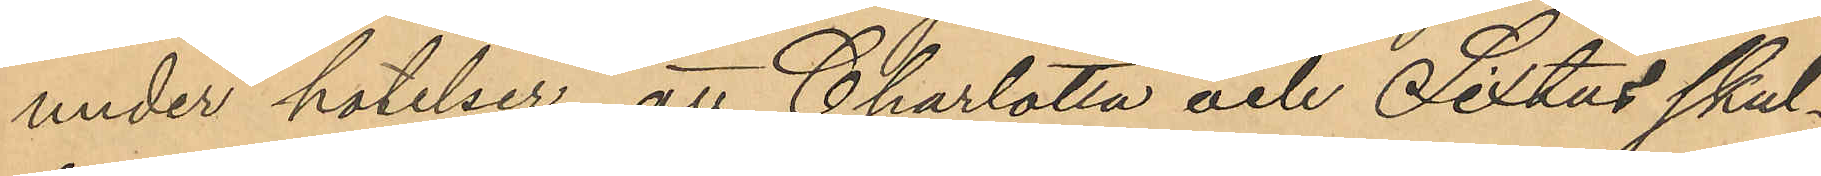under hotelser att Charlotta och Sixtus skul¬
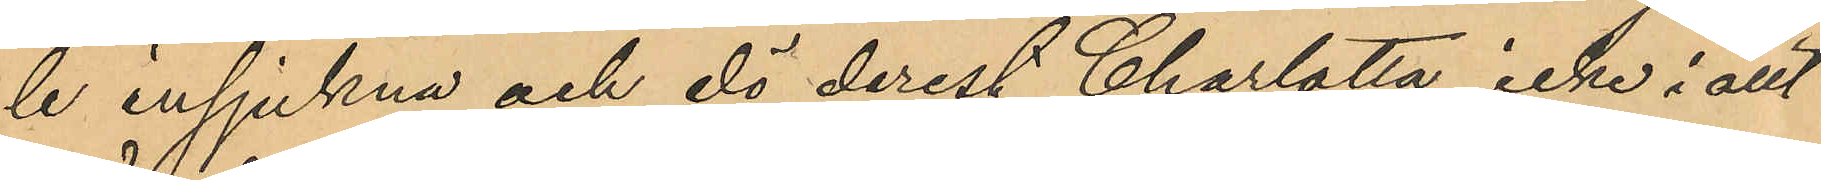le insjukna och dö derest Charlotta icke i allt
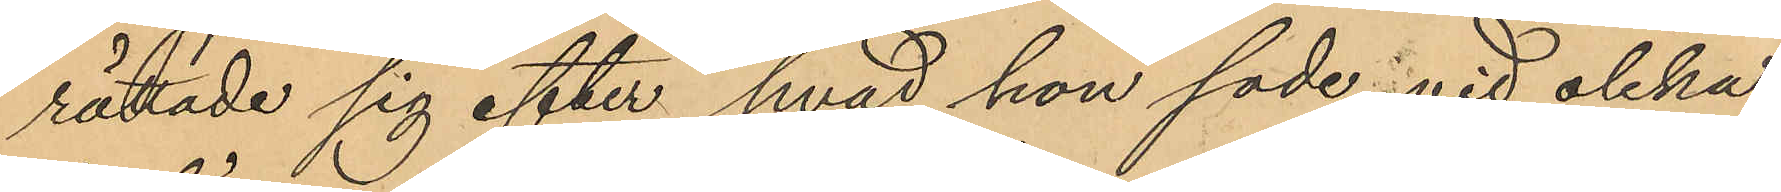rättade sig efter hvad hon sade, vid olika
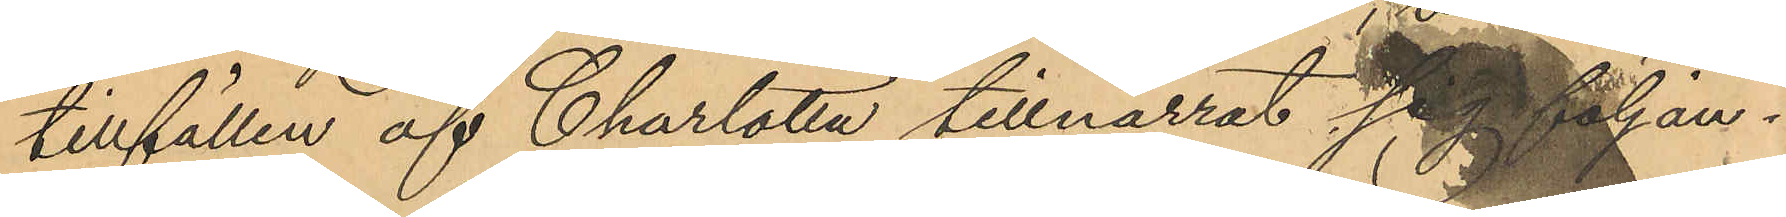tillfällen af Charlotta tillnarrat sig följan¬
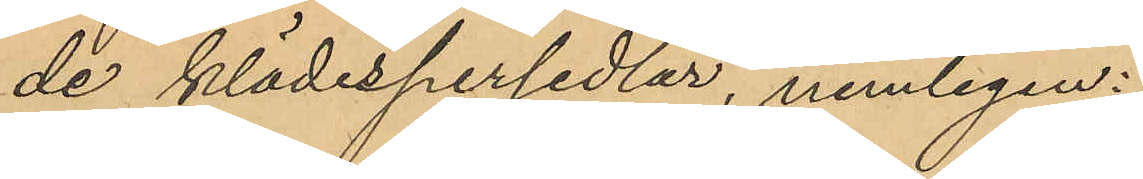de klädespersedlar, nemligen:
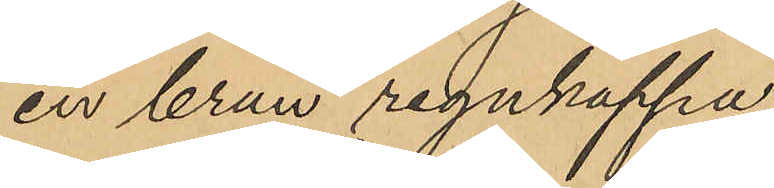en brun regnkappa,
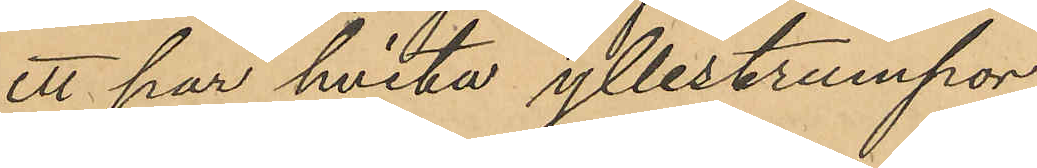ett par hvita yllestrumpor,
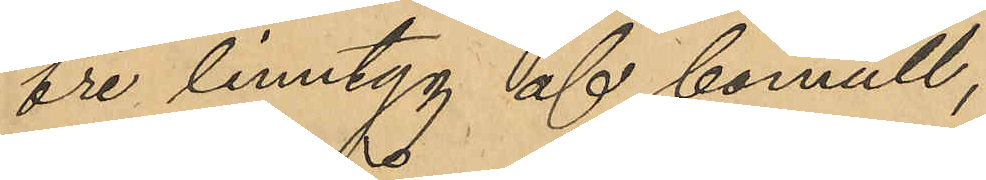tre linntyg af bomull,
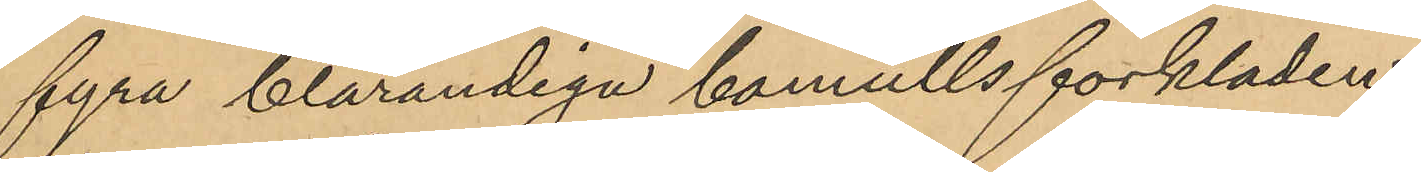fyra blårandiga bomullsförkläden
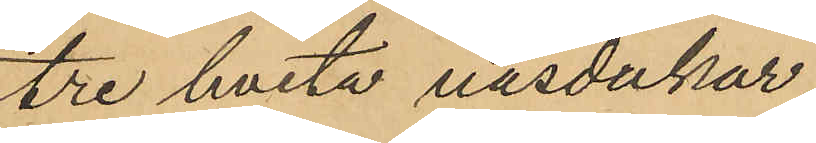tre hvita näsdukar,
